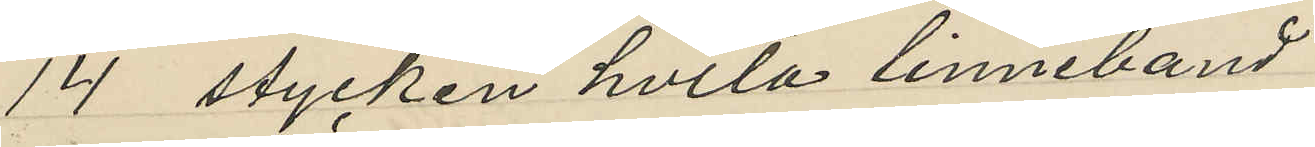14 stycken hvita linneband
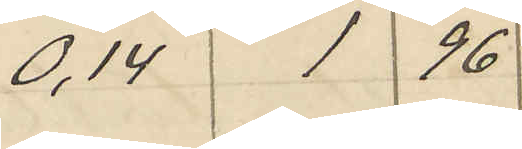0,14 1 96
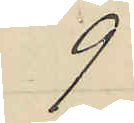9
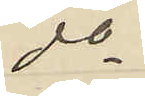do
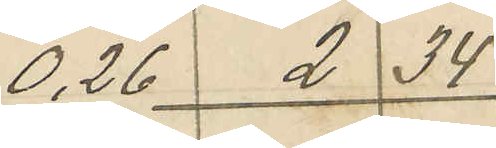0,26 2 34
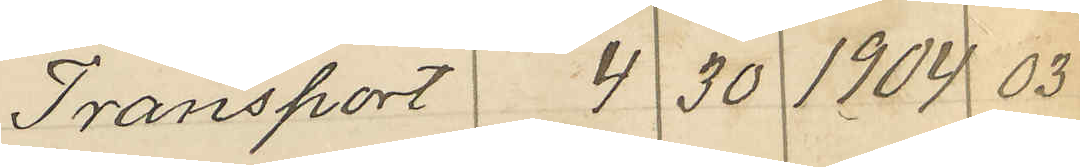Transport 4 30 1904 03
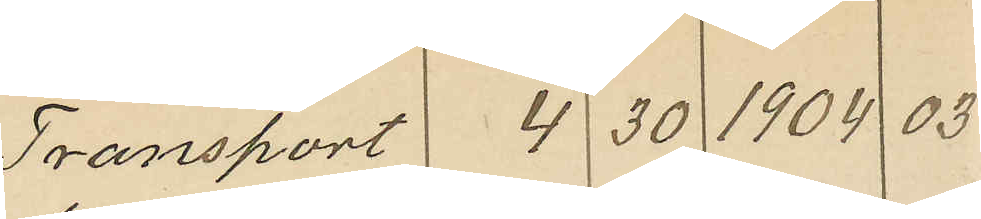Transport 4 30 1904 03
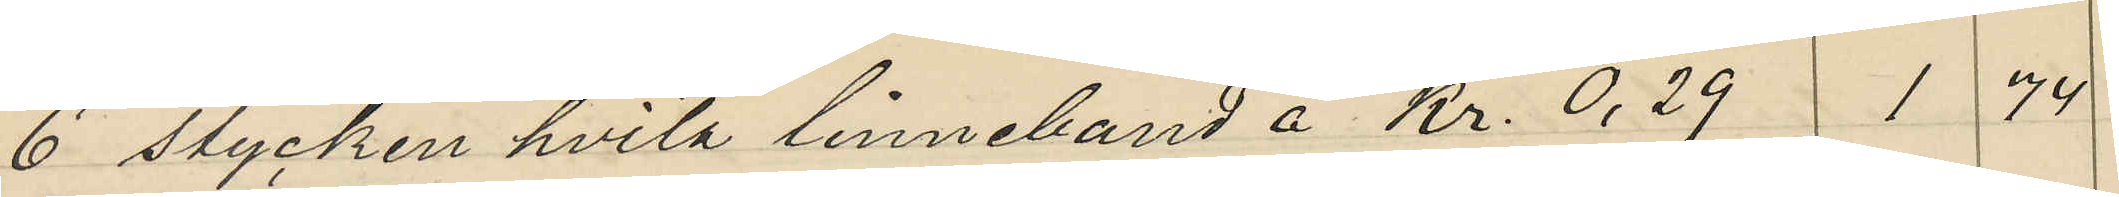6 stycken hvita linneband å kr. 0,29 1 74
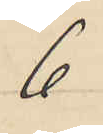6
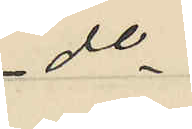do
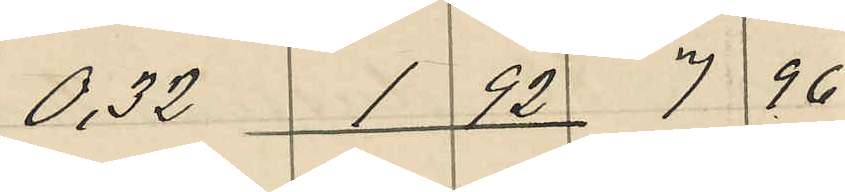0,32 1 92 7 96
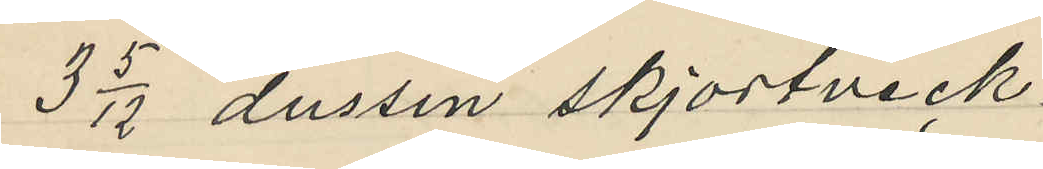3 5/12 dussin skjortveck
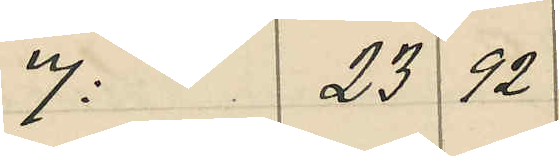7: 23 92
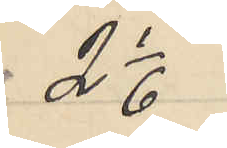2 1/6
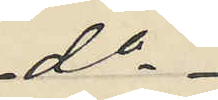do
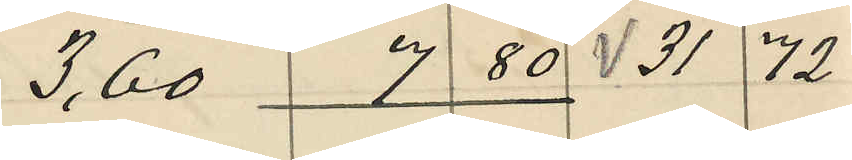3,60 7 80 31 72
